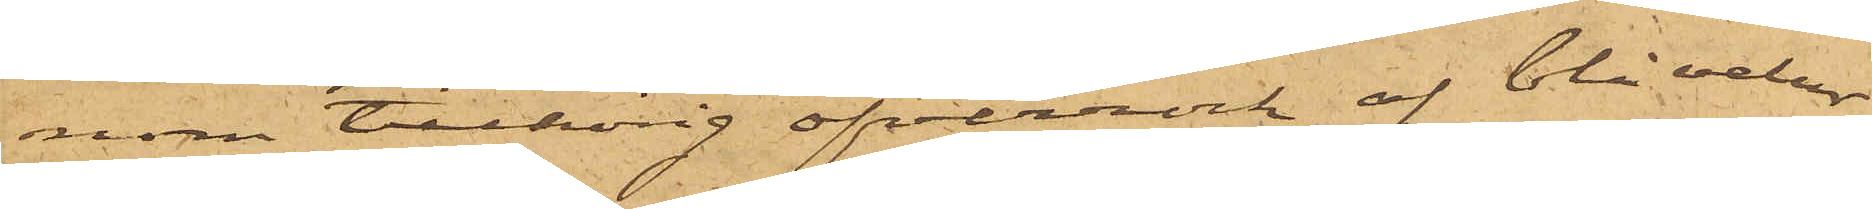nom tillhörig öfverrock af blå velour,
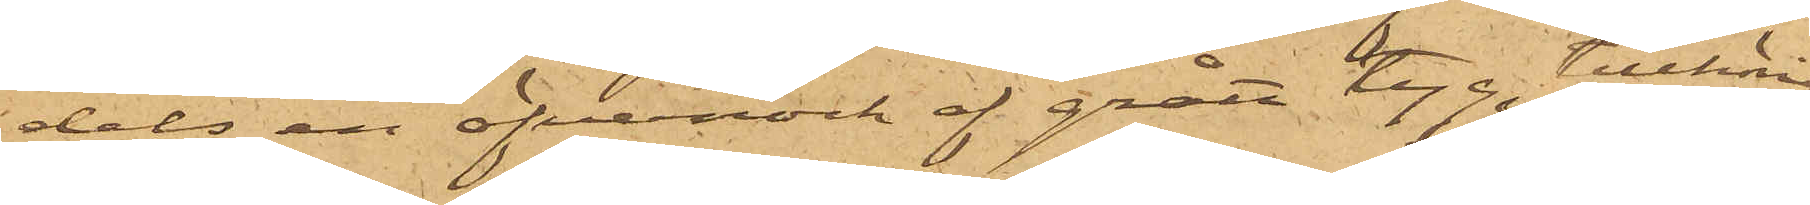dels en öfverrock af grått tyg, tillhörig
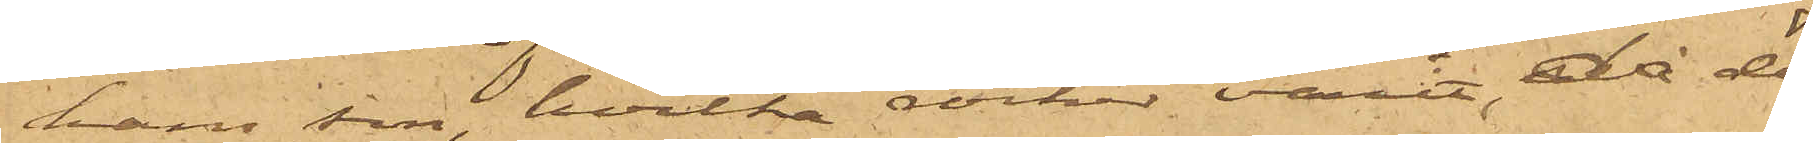hans son, hvilka rockar varit, då de
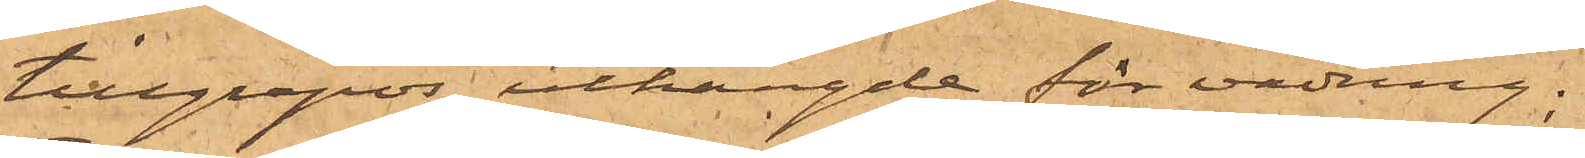tillgrepos, uthängde för vädring;
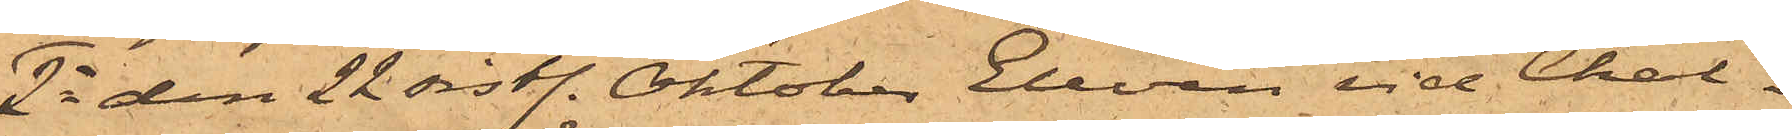2o den 22 sist. Oktober Eleven vid Chal¬
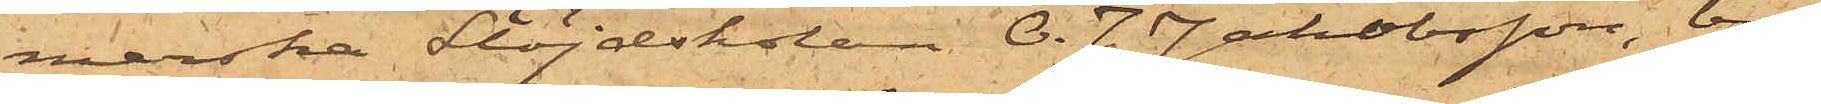merska Slöjdskolan O. J. Jakobsson, bo¬
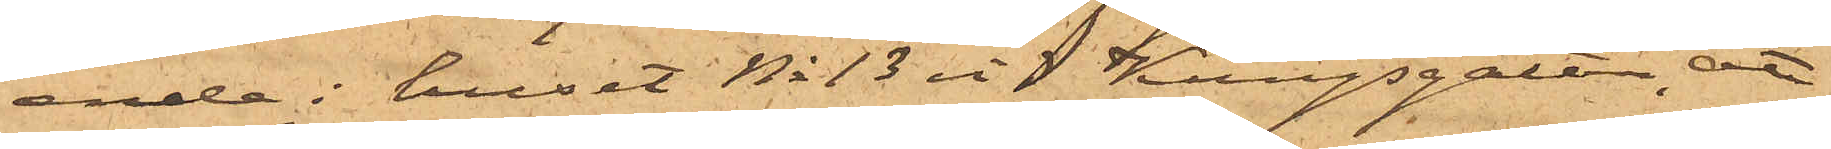ande i huset No 13 vid Kungsgatan, att
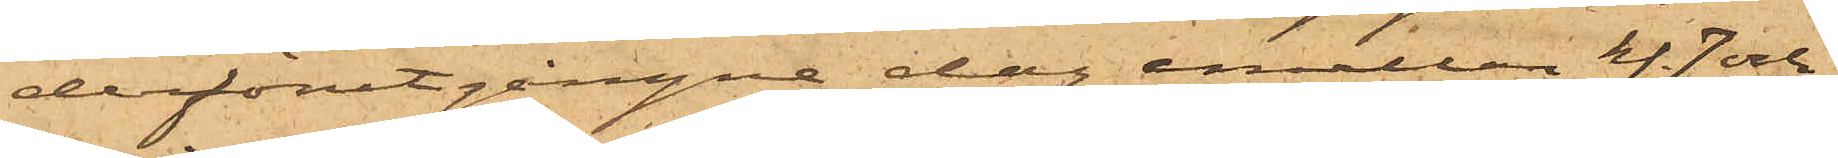derförutgångne dag emellan kl. 7 och
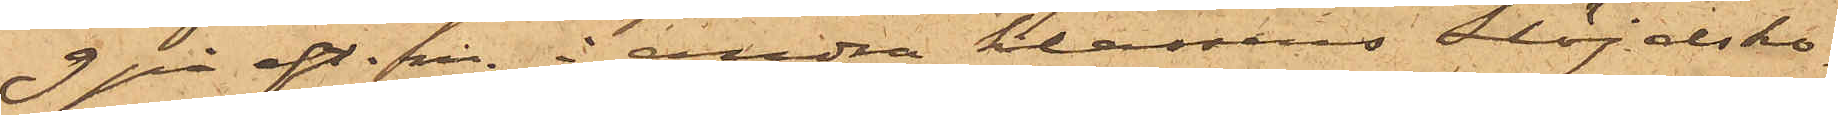9 på eft.m. i andra klassens Slöjdsko¬
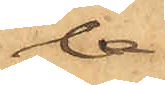la
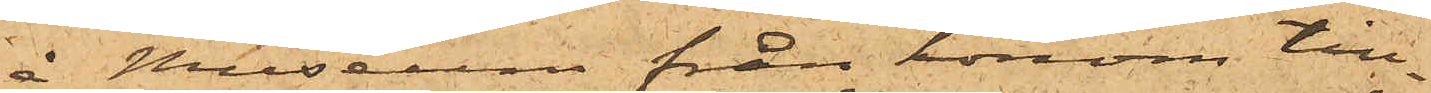å Museum från honom till¬
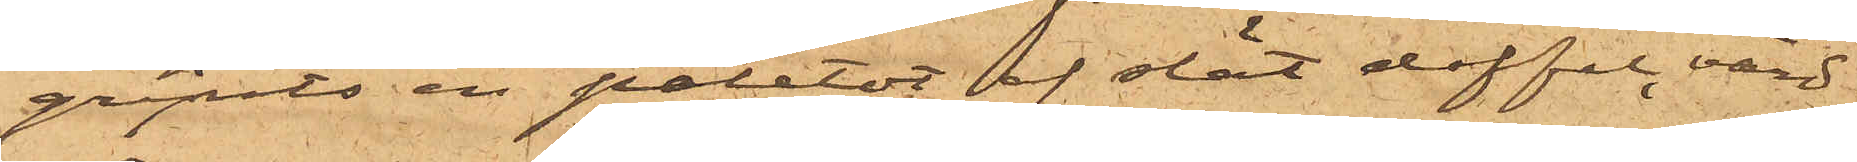gripits en paletot af slät doffel, värd
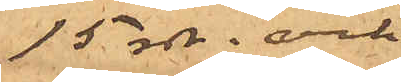15 rdr. och
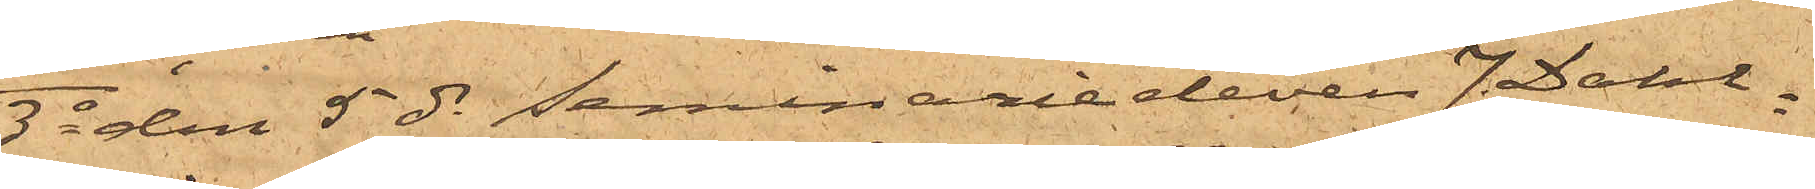3o den 5 ds Kommissionsidkaren J. Dahl¬
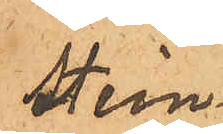stein,
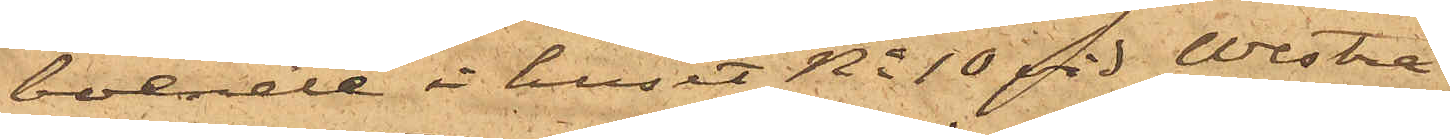boende i huset No 10 vid Westra
